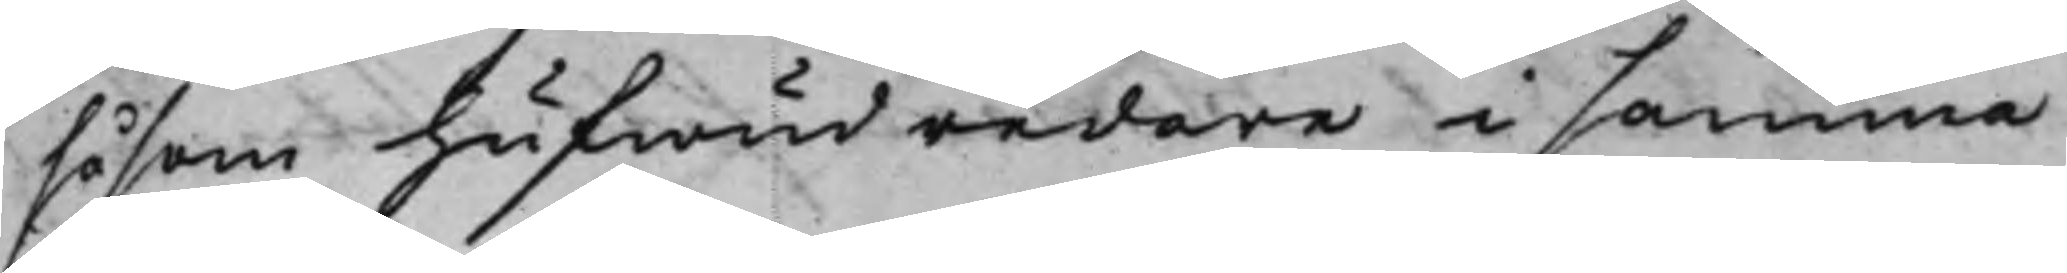såsom hufwudredare i samma
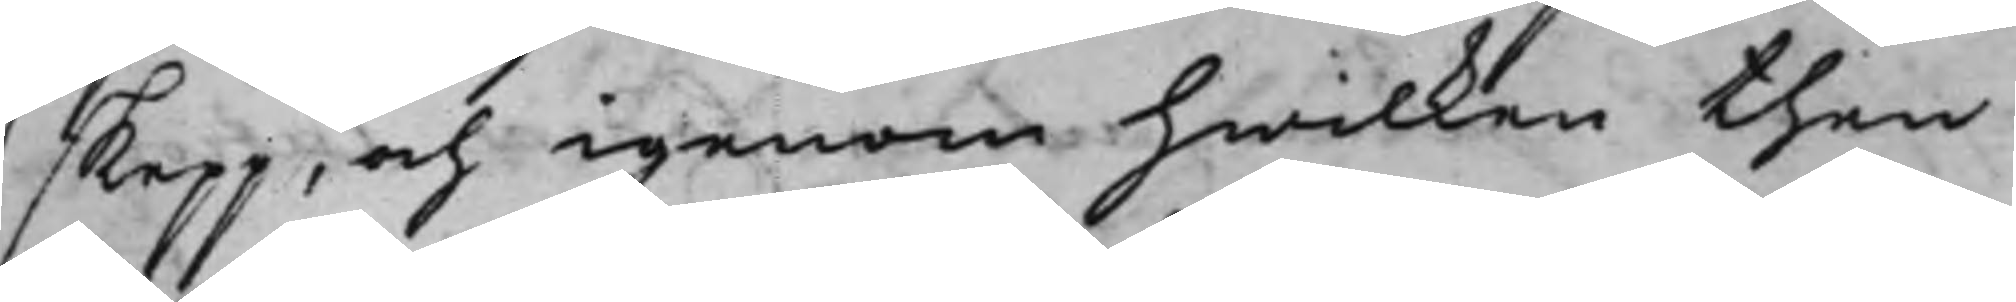skepp, och igenom hwilken then
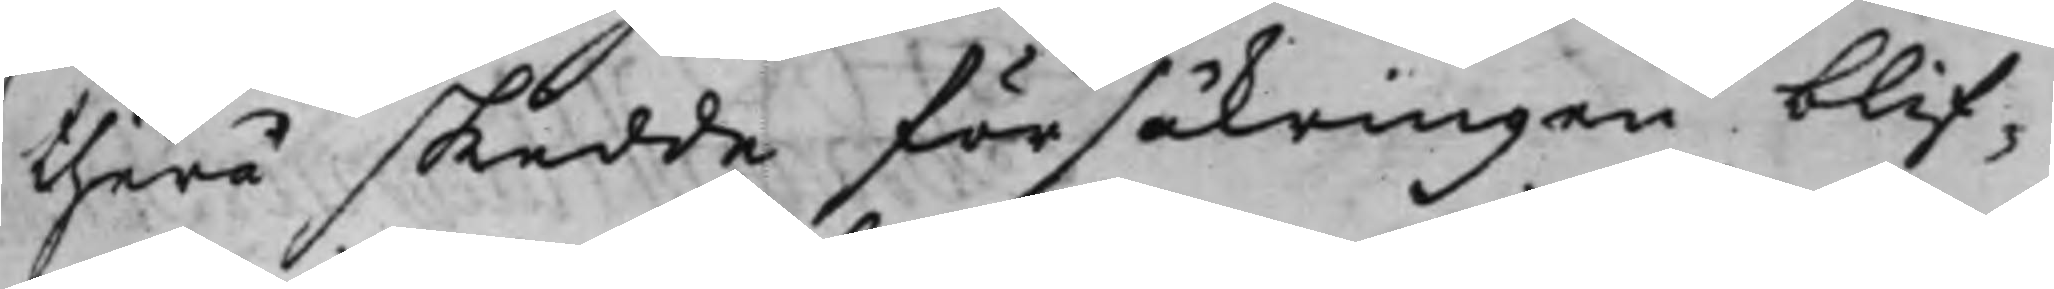therå skedde försäkringen blif¬
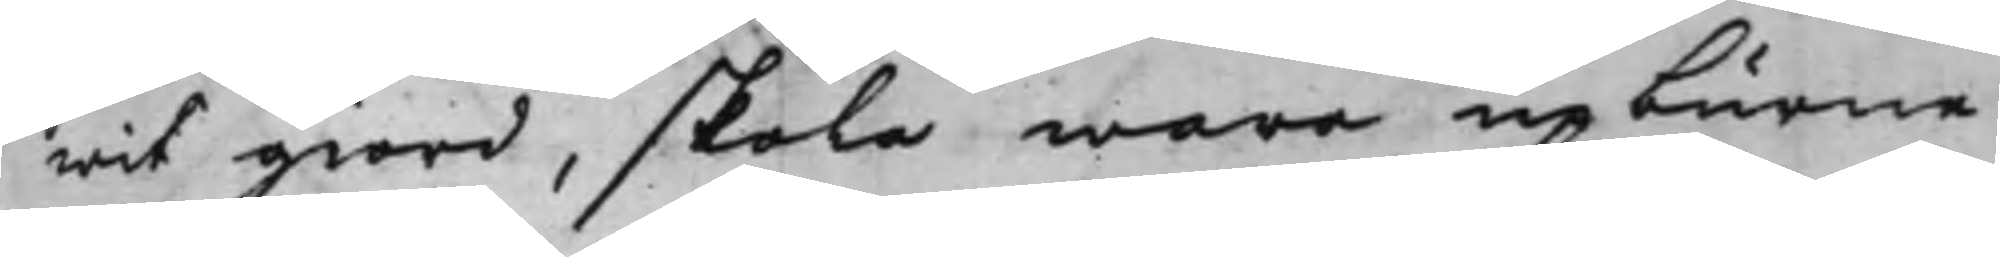wit giord, skola wara upburne
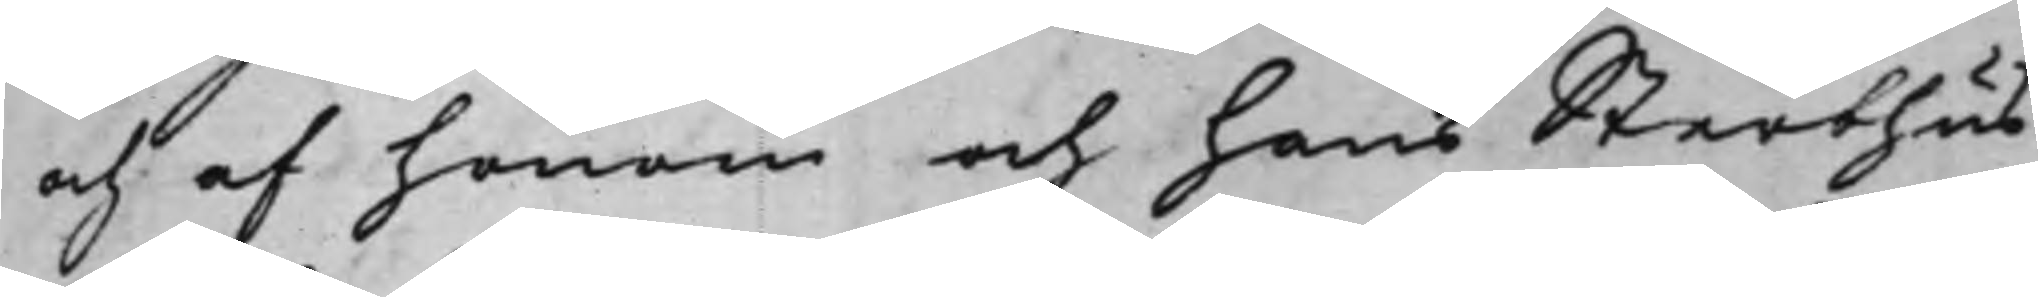och af honom och hans Sterbhus
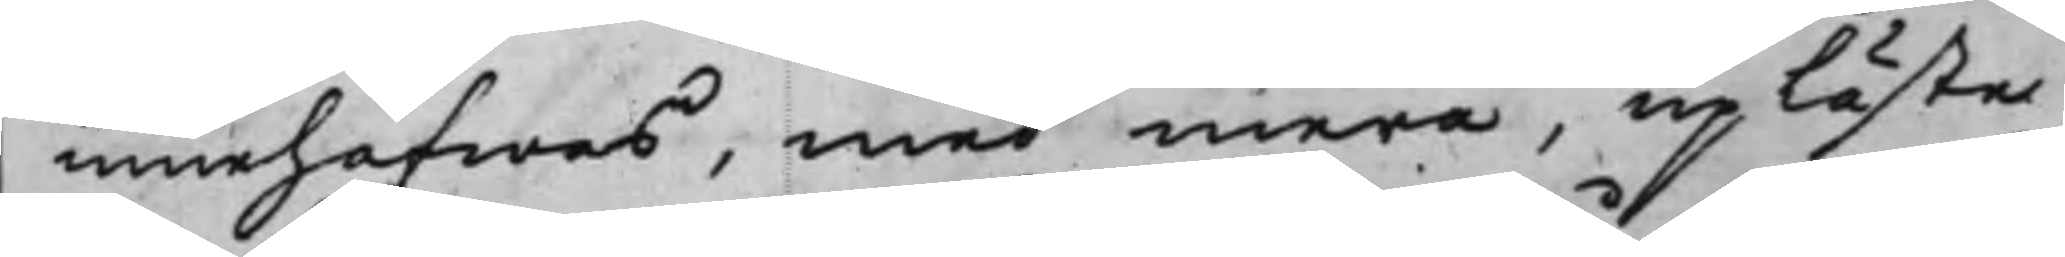innehafwas, med mera, uplästes
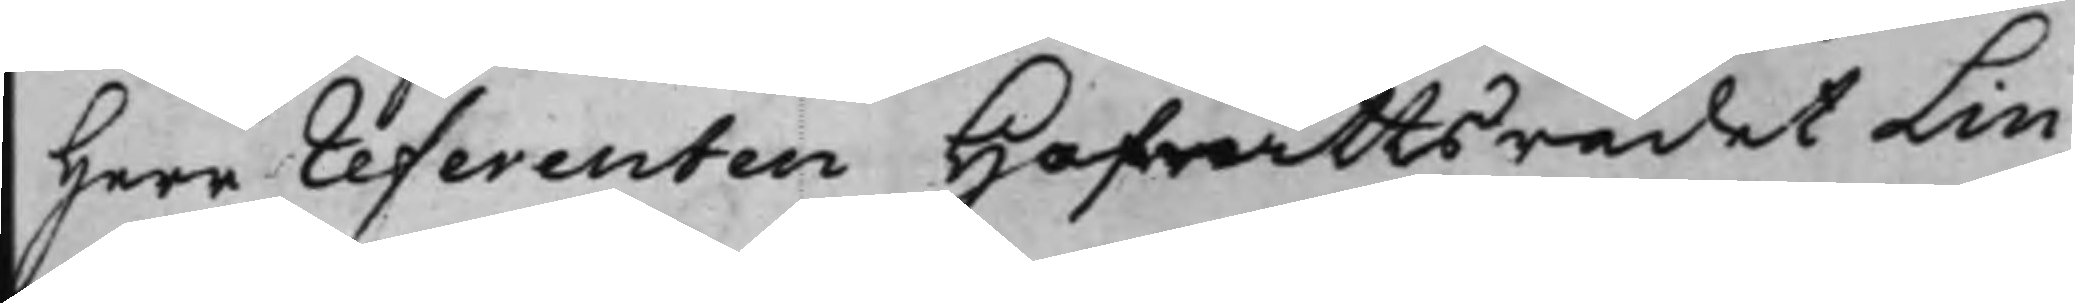Herr referenten Hofrättsrådet Lin¬
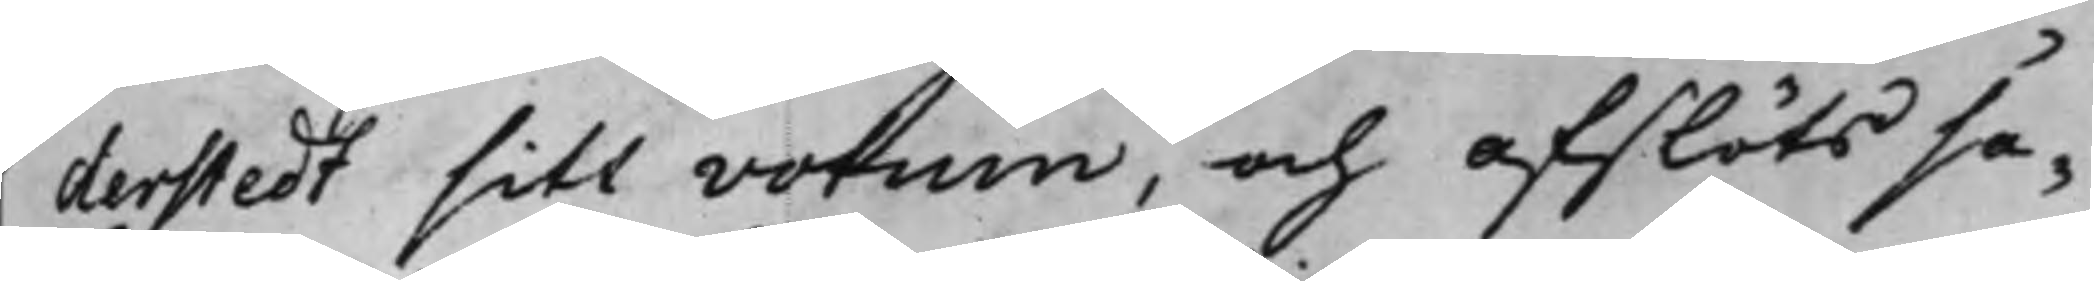derstedt sitt votum, och afslöts sa¬
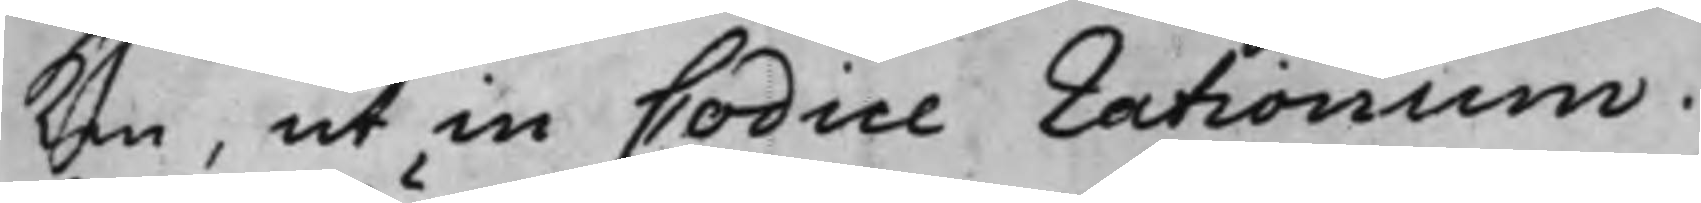ken, ut in Codice rationum.
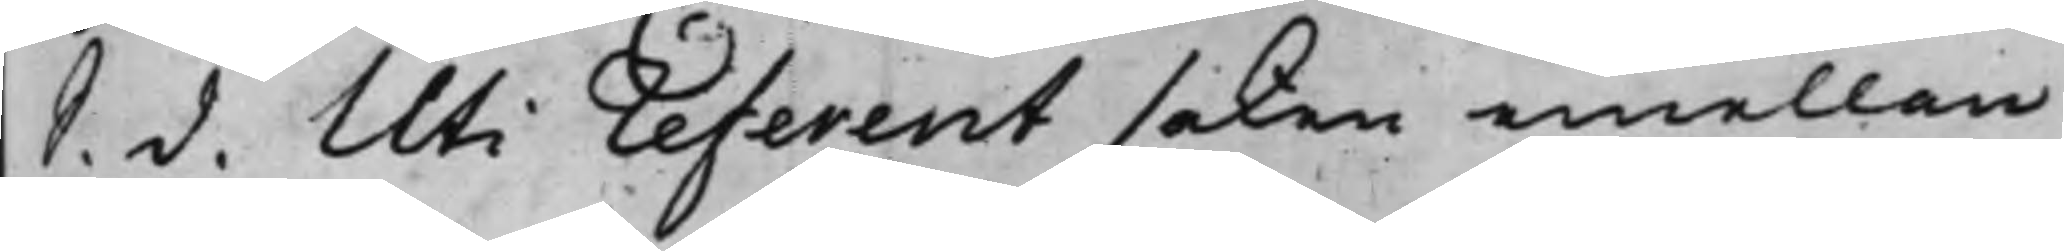S. d. Uti referent saken emellan
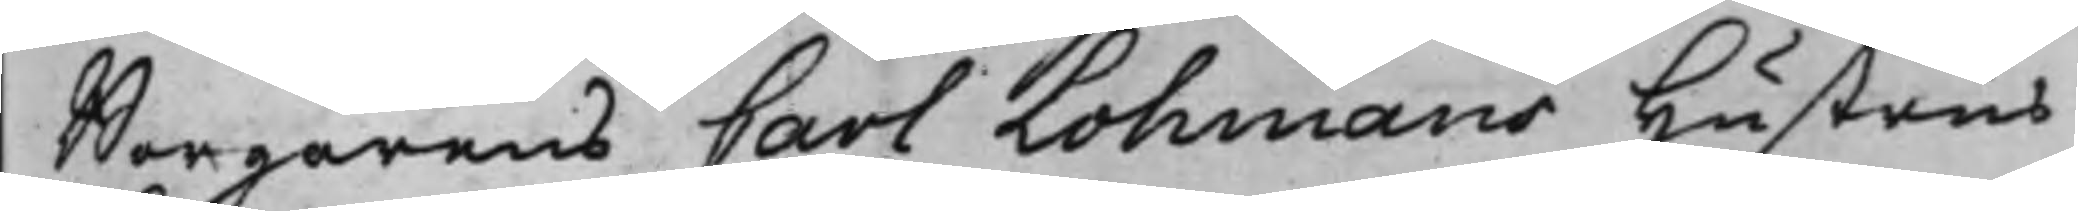Borgarens Carl Lohmans Hustrus
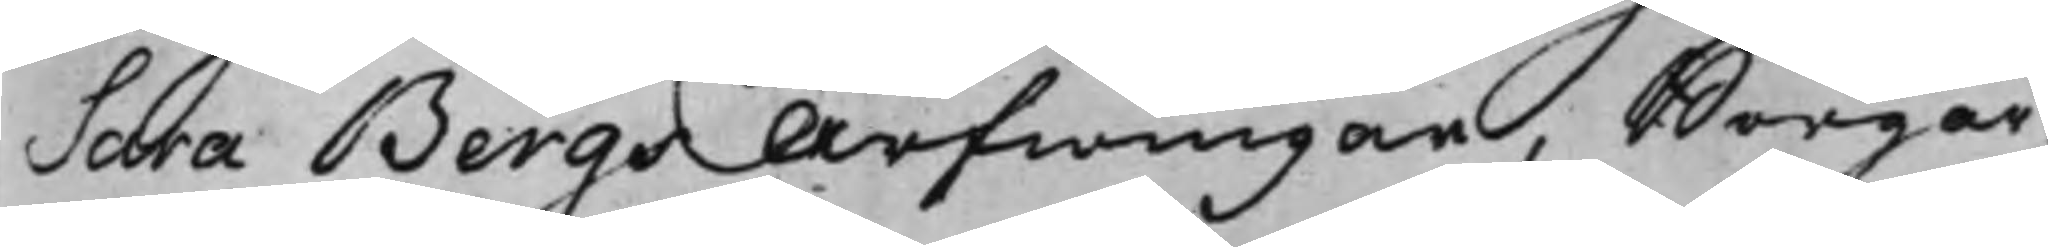Sara Bergs Arfwingar, Borgar¬
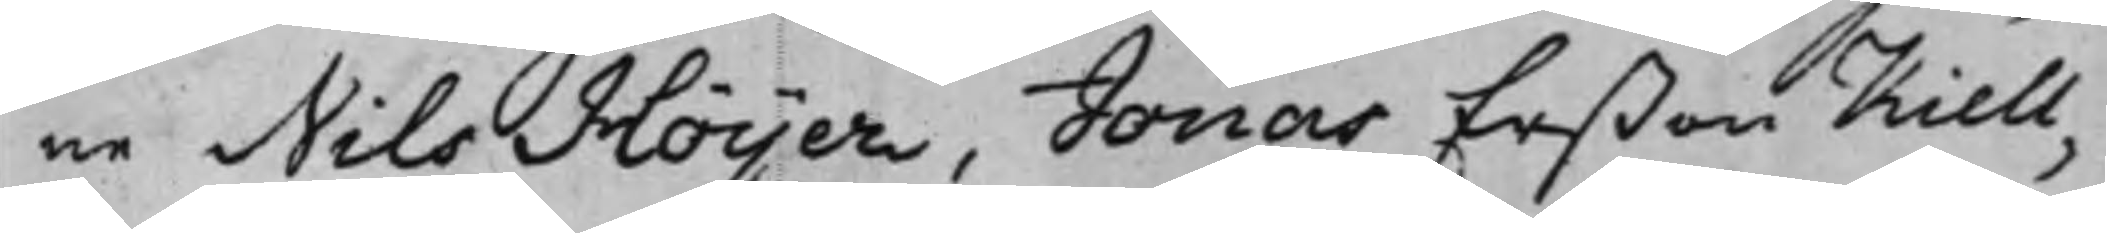ne Nils Höijer, Jonas Erßon Kiell¬
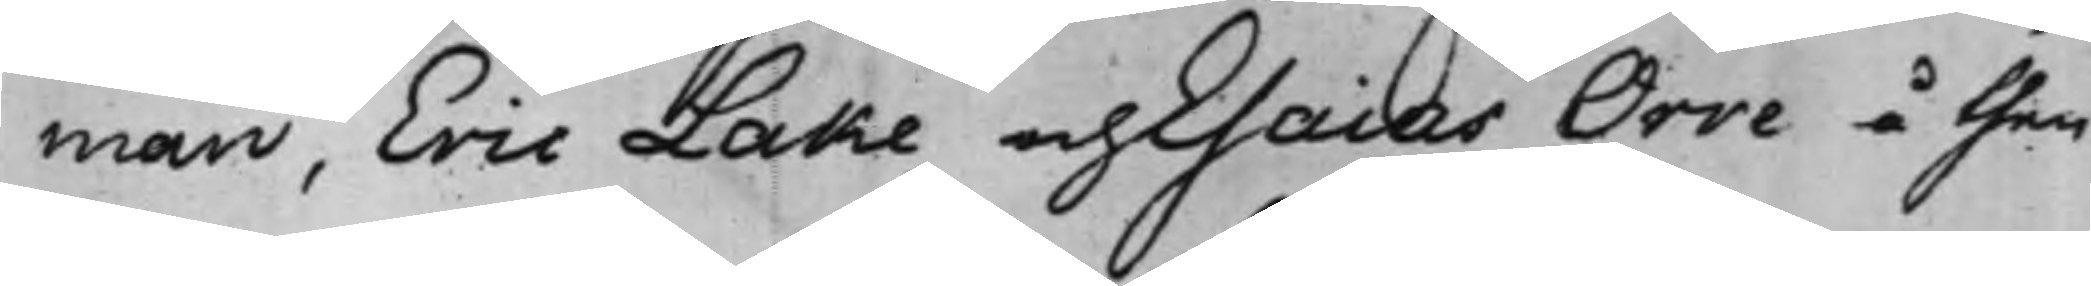man, Eric Lake och Esaias Orre å then
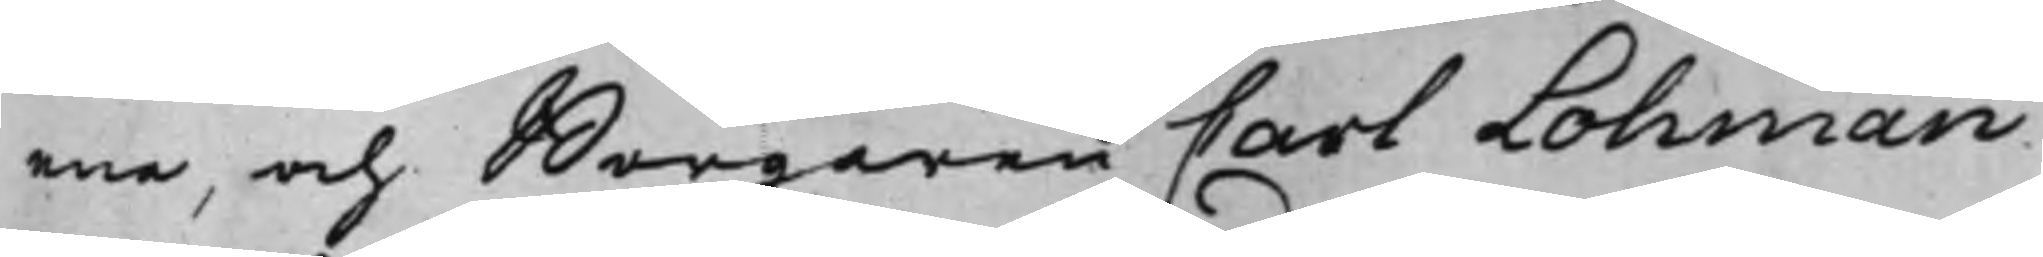ena, och Borgaren Carl Lohman
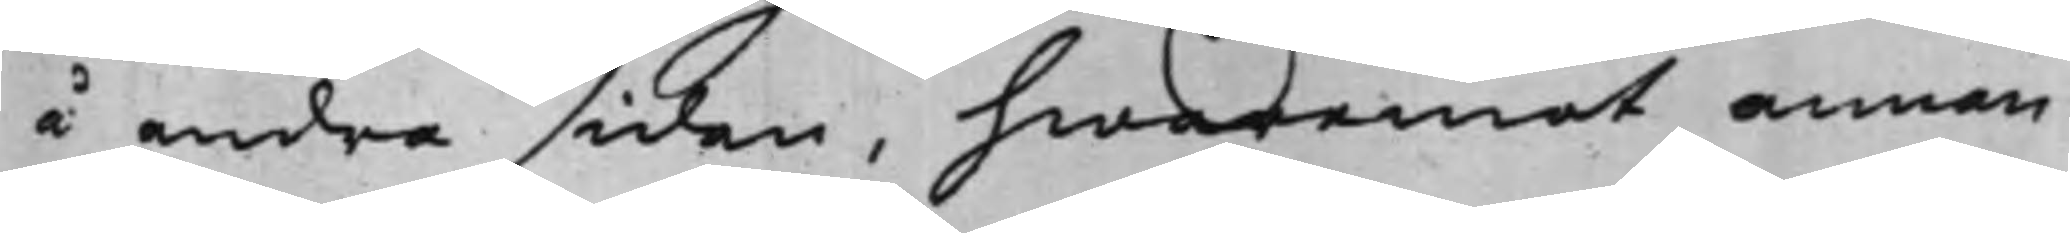å andra sidan, hwaremot annan
